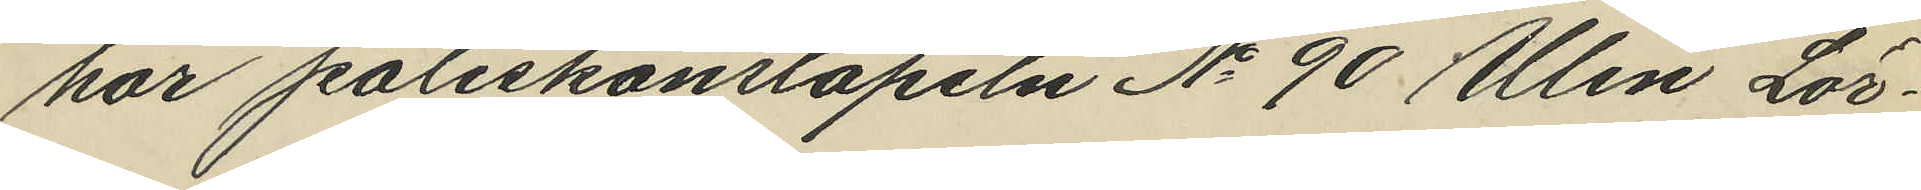har poliskonstapeln No 90 Ulin Lör¬
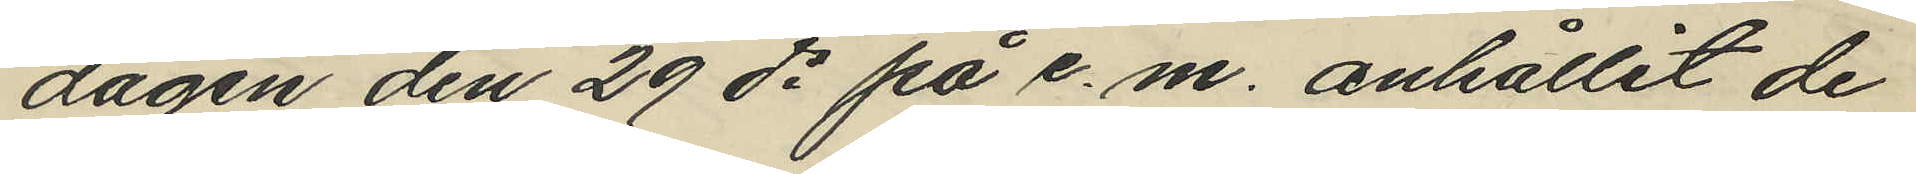dagen den 29 ds på e. m. anhållit de
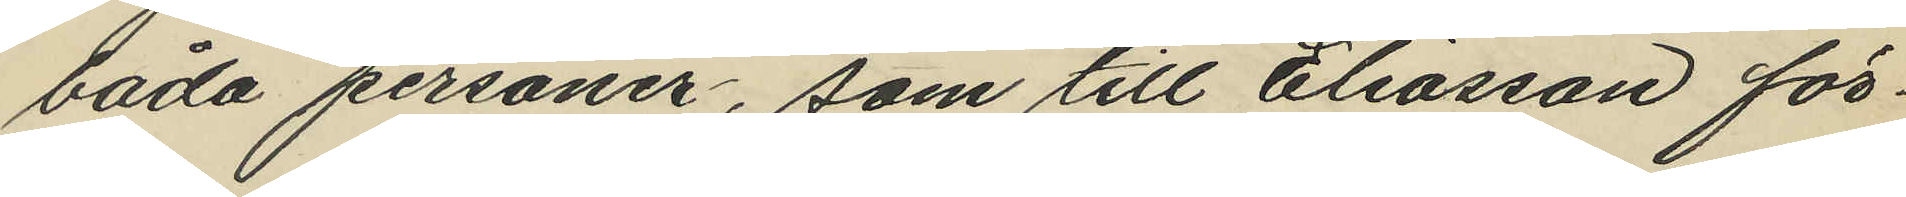båda personer, som till Eliasson för¬
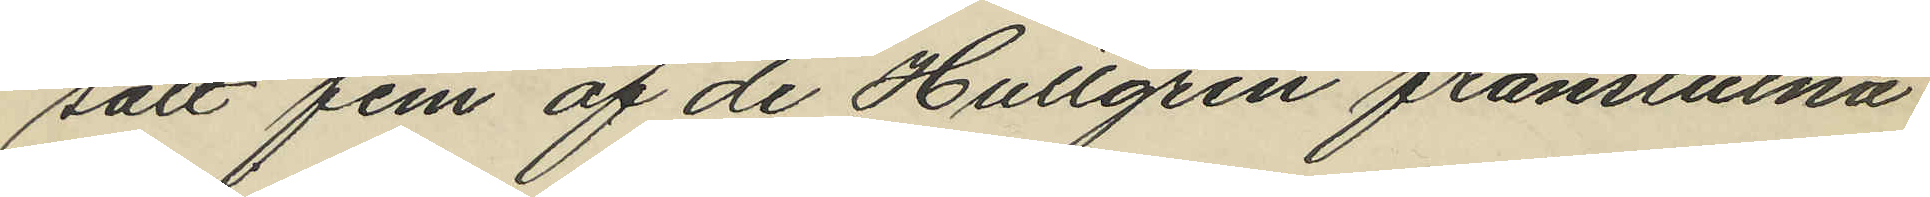sålt fem af de Hultgren frånstulna
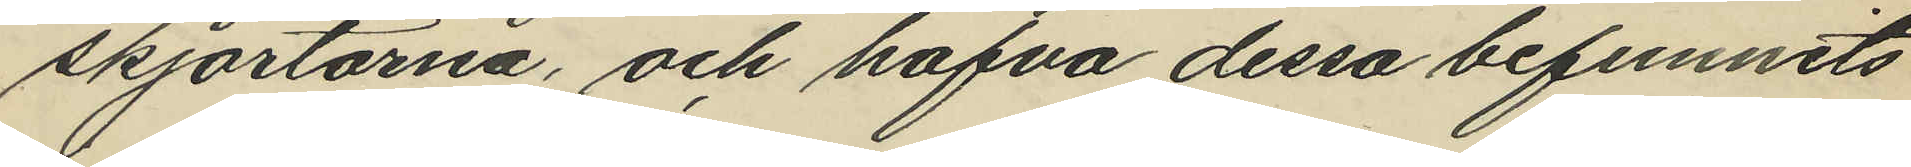skjortorna, och hafva dessa befunnits
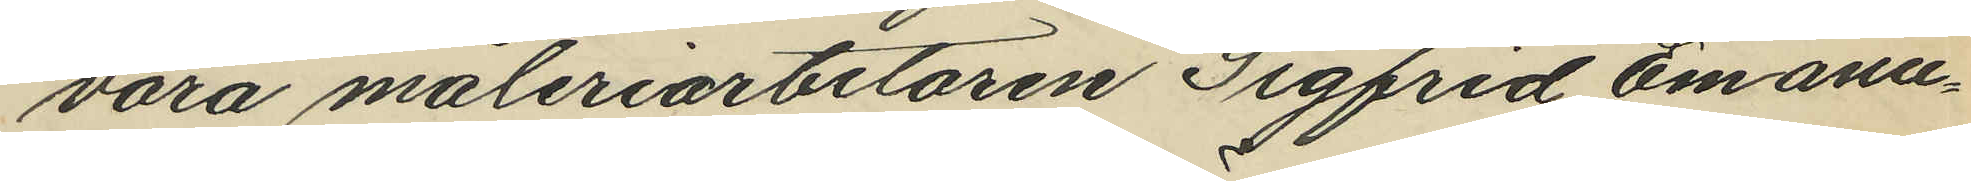vara måleriarbetaren Sigfrid Emanu¬
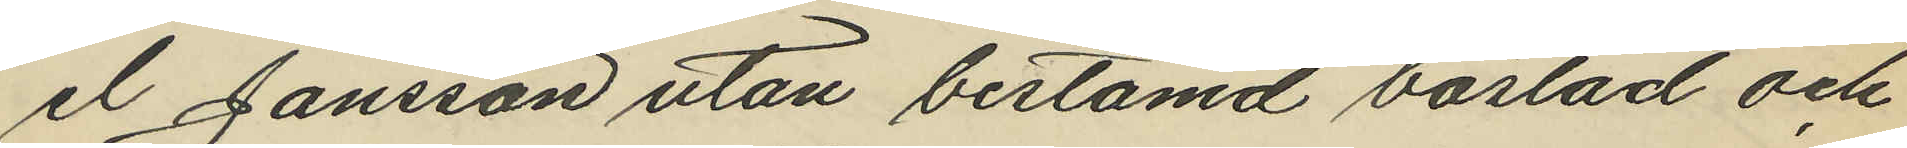el Jansson utan bestämd bostad och
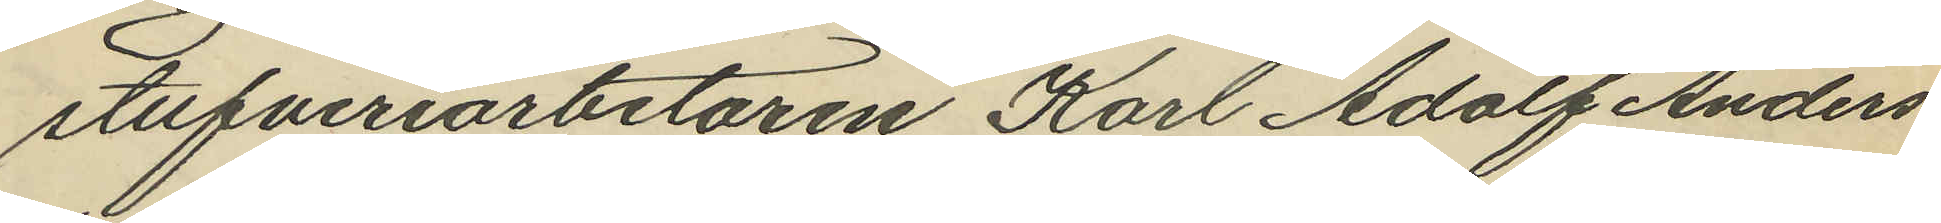stufveriarbetaren Karl Adolf Anders¬
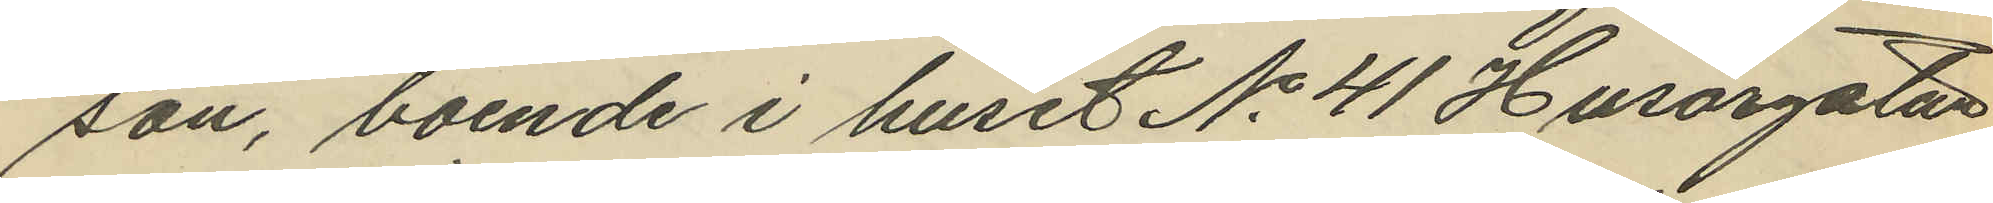son, boende i huset No 41 Husargatan.
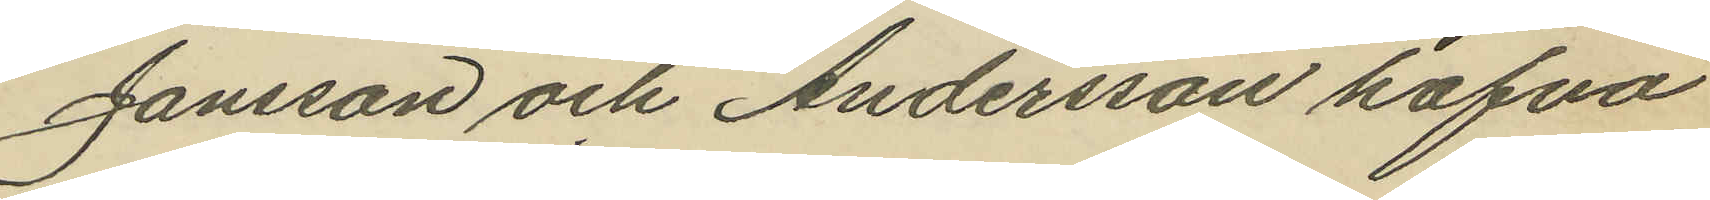Jansson och Andersson hafva
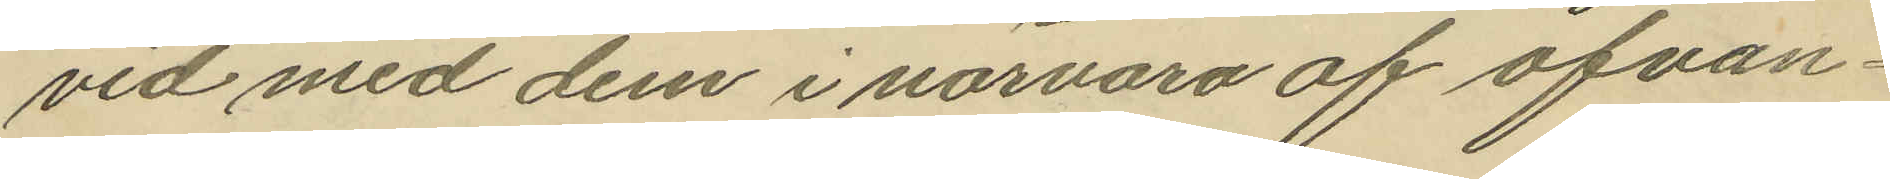vid med dem i närvaro af ofvan¬
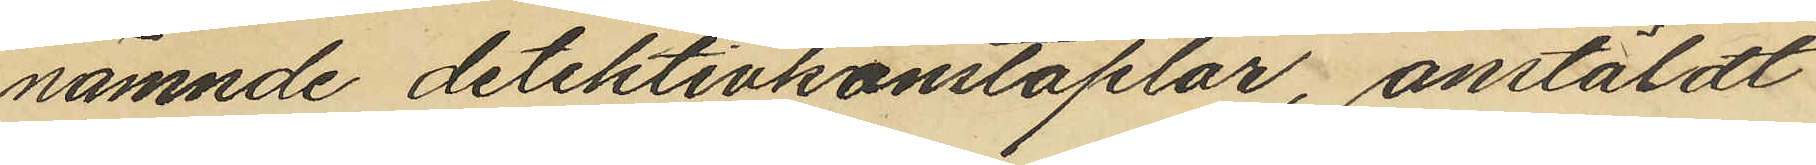nämnde detektivkonstaplar, anstäldt
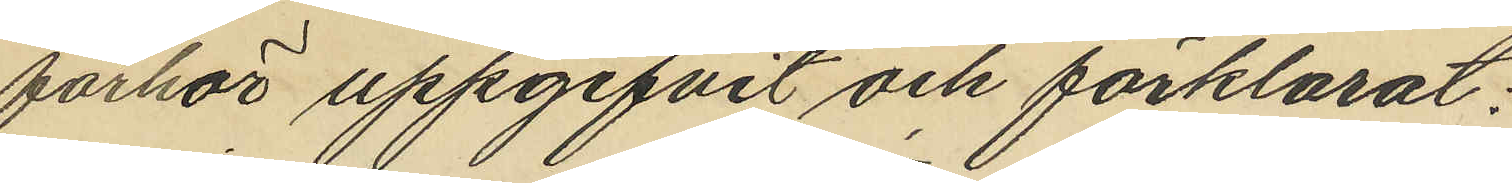förhör uppgifvit och förklarat:
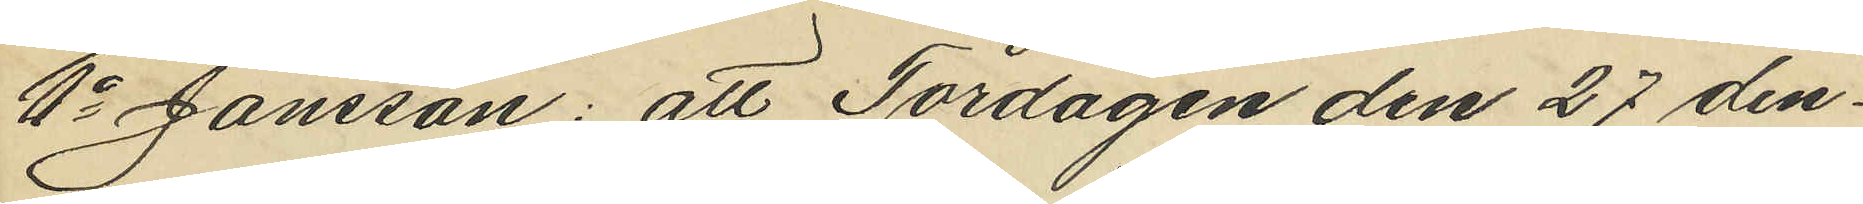1o Jansson: att Tordagen den 27 den¬
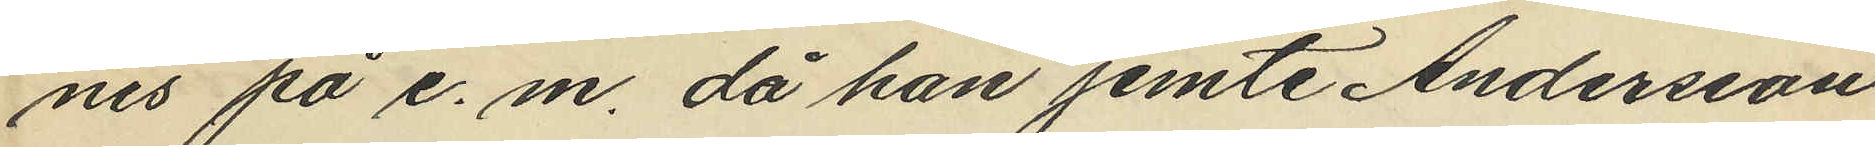nes på e. m. då han jemte Andersson
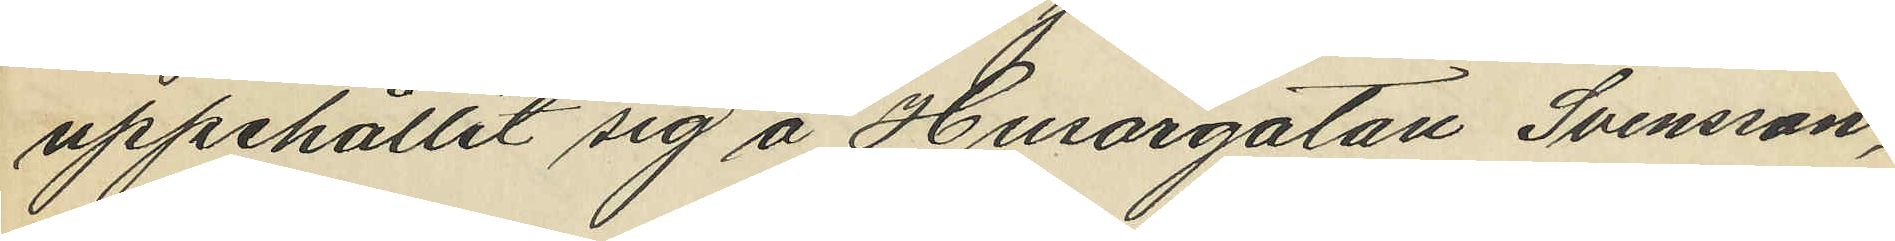uppehållit sig å Husargatan Svensson,
